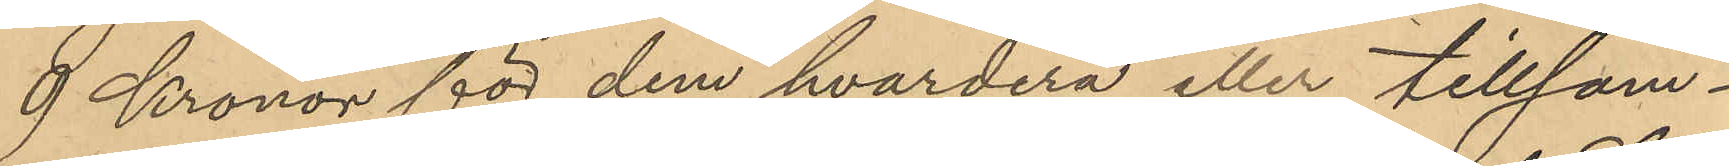9 Kronor för dem hvardera eller tillsam¬
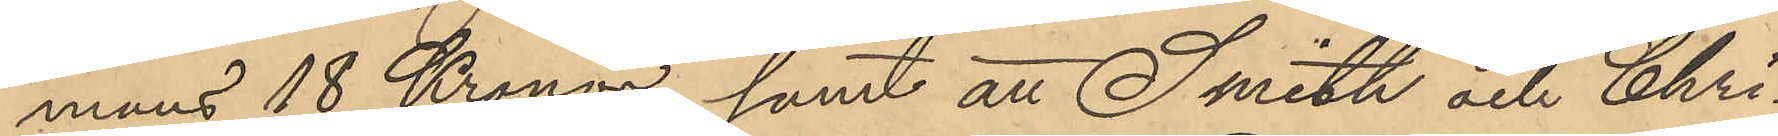mans 18 Kronor samt att Smith och Chri¬
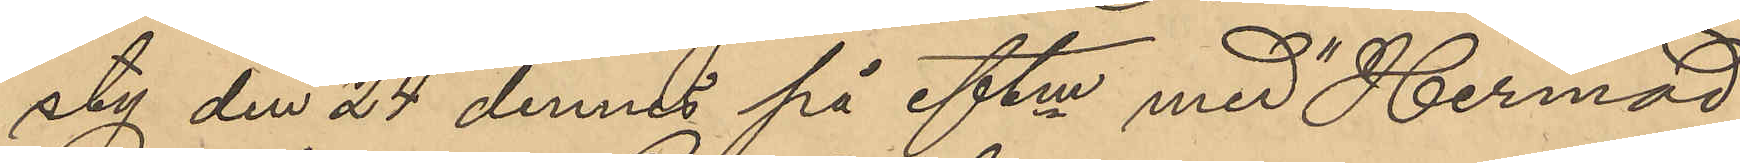sty den 24 dennes på eftm med "Hermod"
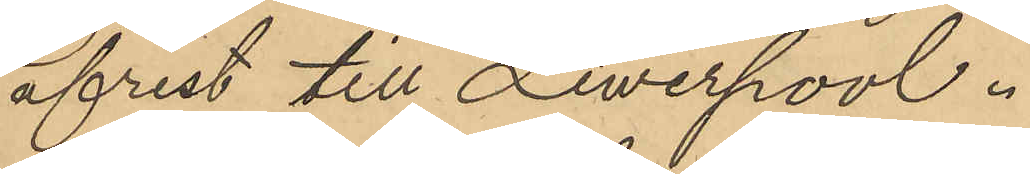afrest till Liwerpool.
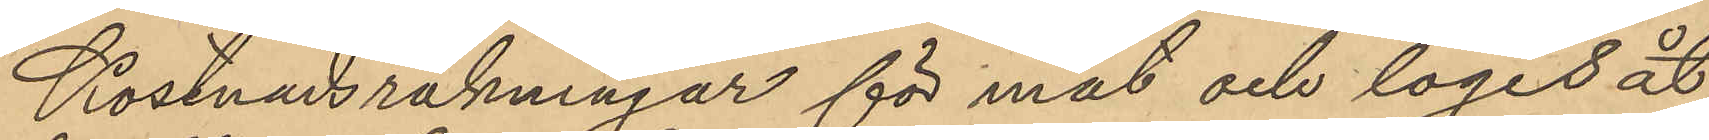Kostnadsräkningar för mat och logis åt
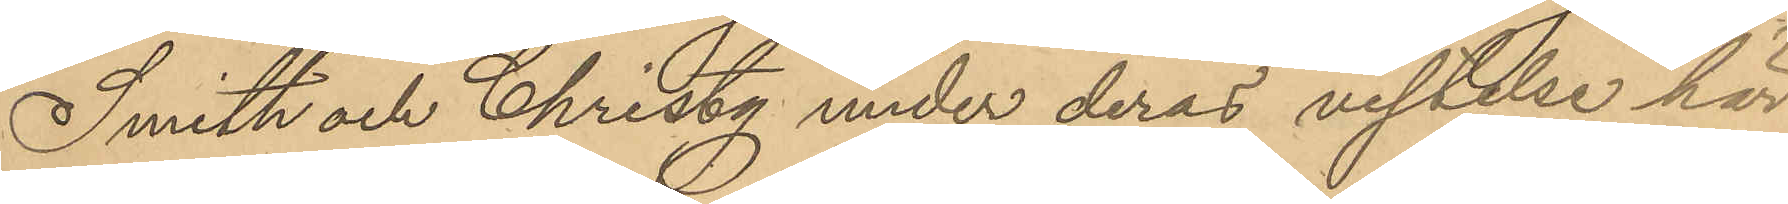Smith och Christy under deras vistelse här
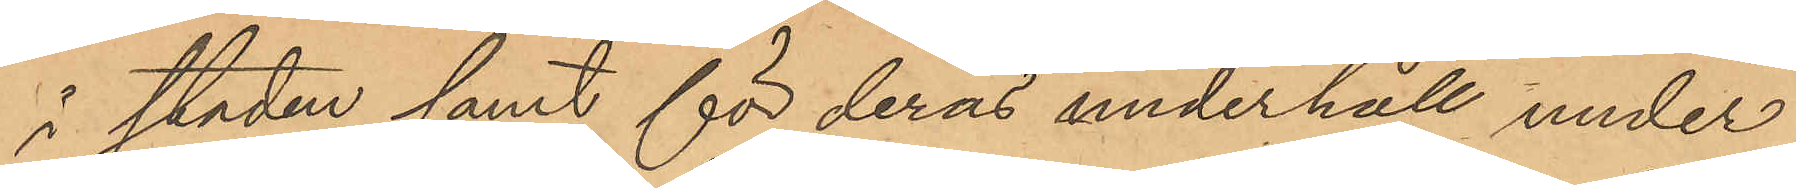i staden samt för deras underhåll under
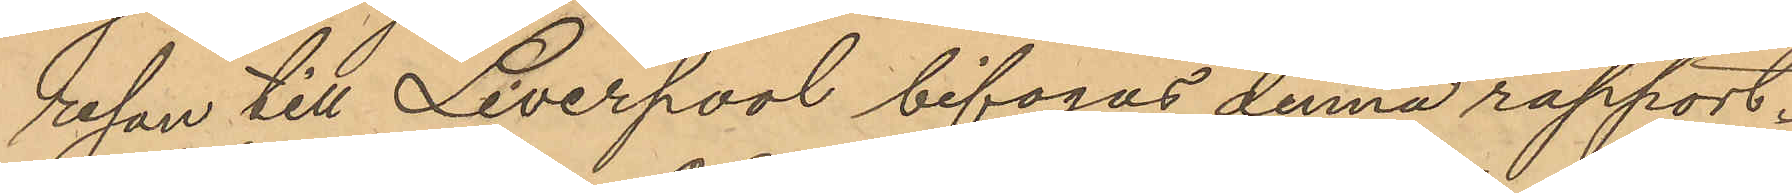resan till Liverpool bifogas denna rapport.
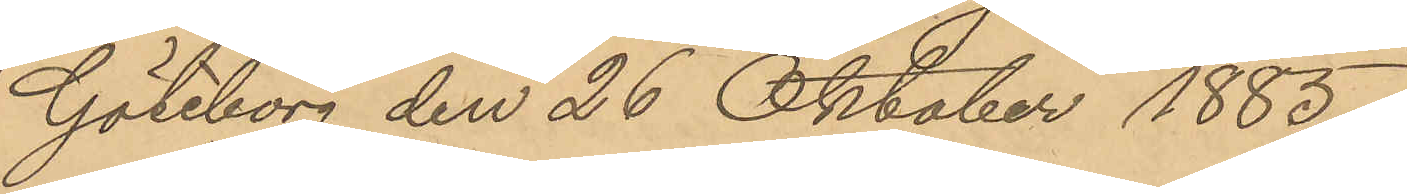Göteborg den 26 Oktober 1885.
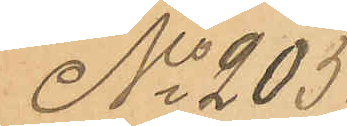No 205
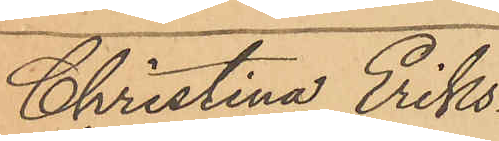Christina Eriks¬
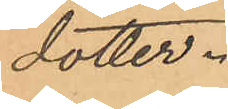dotter.
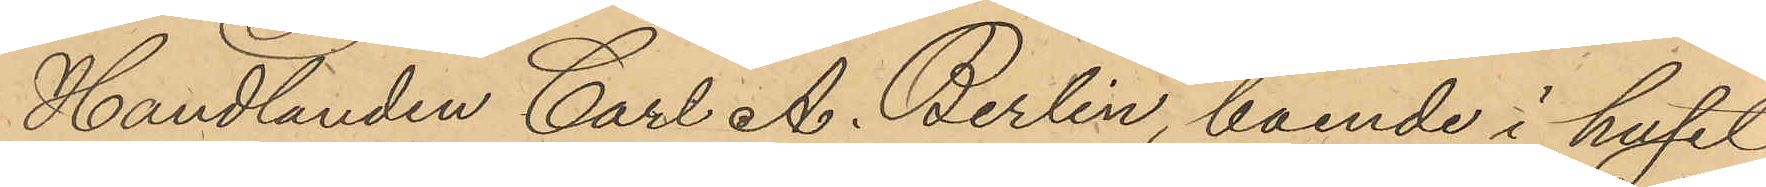Handlanden Carl A. Berlin, boende i huset
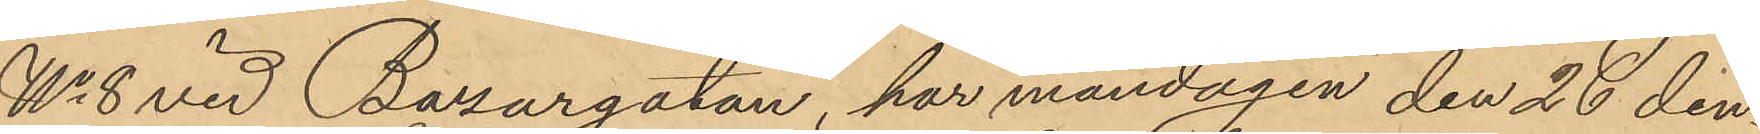No 8 vid Bazargatan har måndagen den 26 den¬
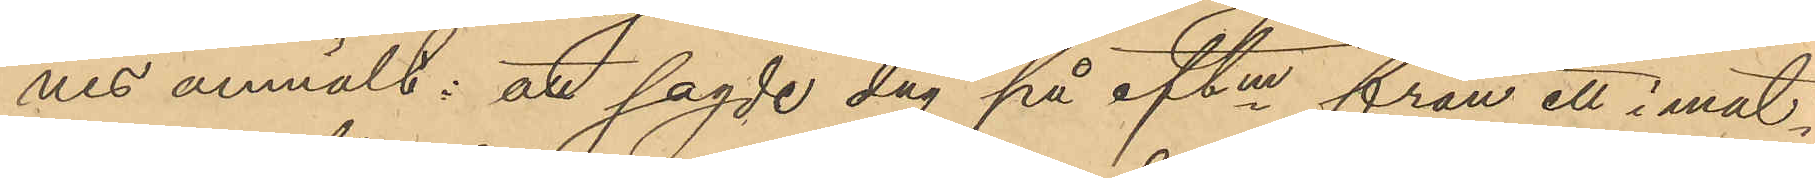nes anmält: att sagde dag på eftm från ett i mat¬
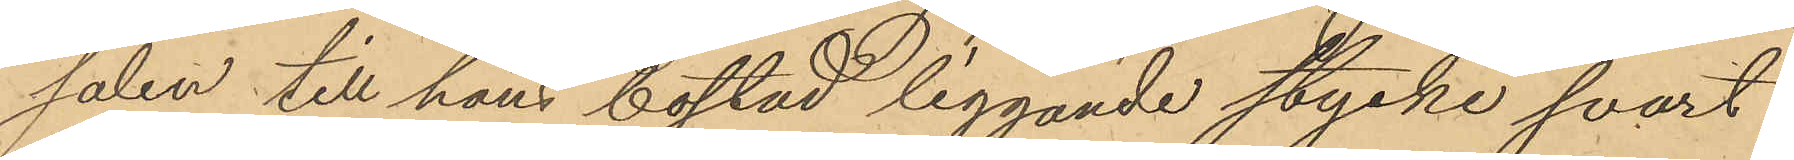salen till hans bostad liggande stycke svart
